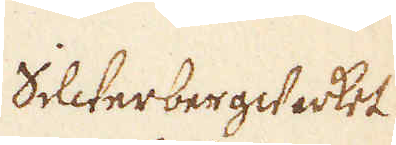Silwerbergwerket
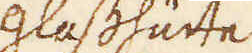Glasshütte
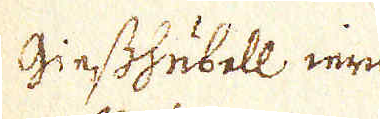Giesshubell iern-
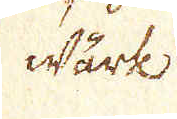wärk
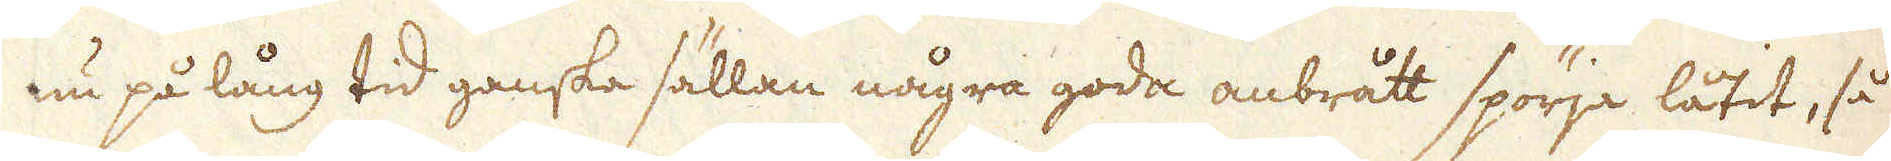nu på lång tid ganska sällan några goda anbrått spörja låtit, så
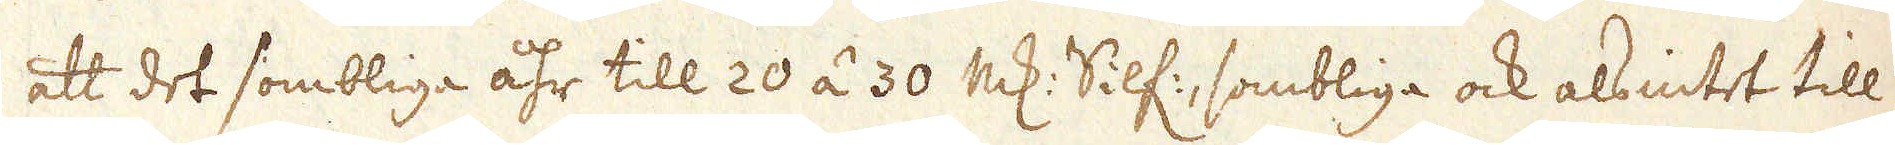att det sombliga åhr till 20 á 30 marker Silf:, sombliga ock alsintet till-
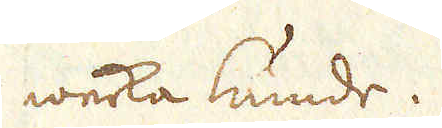werka kunde.
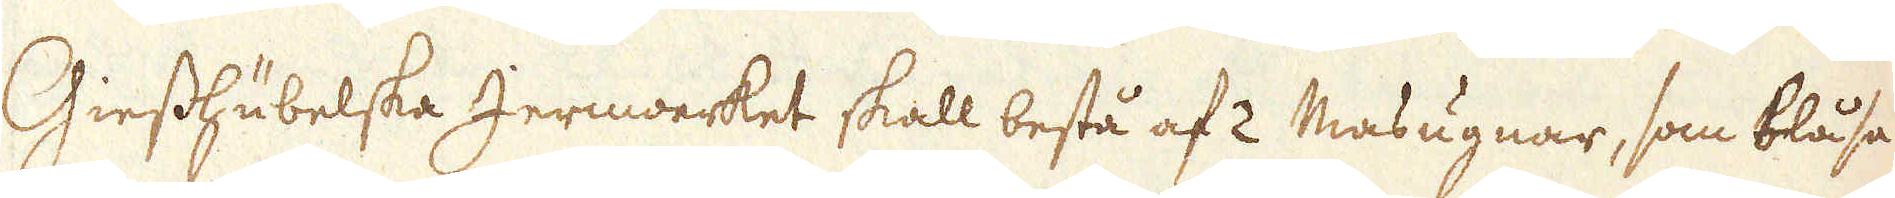Giesshübelska Jernwerket skall bestå af 2 Masugnar, som blåsa
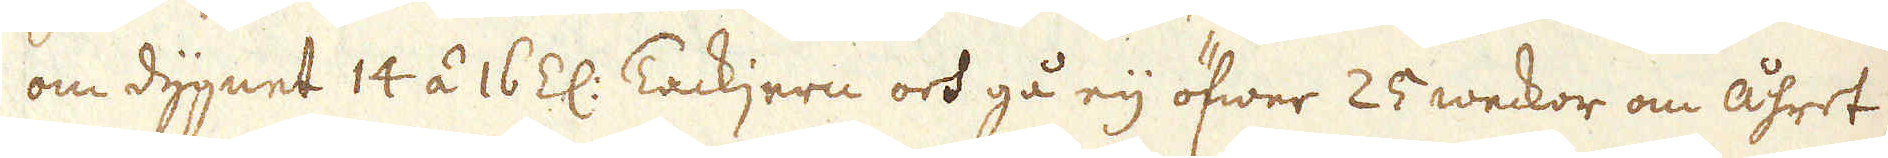om dygnet 14 á 16 Z: Tackjern och gå eij öfwer 25 weckor om åhret
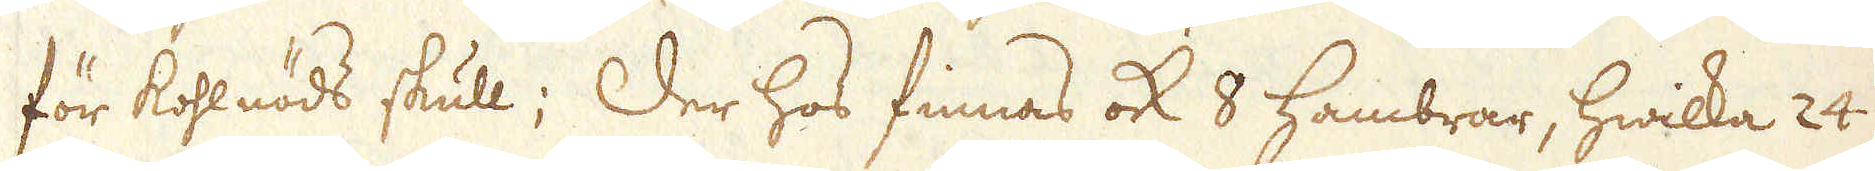för kohlnöds skull; Der hos finnas ock 8 Hambrar, hwilka 24
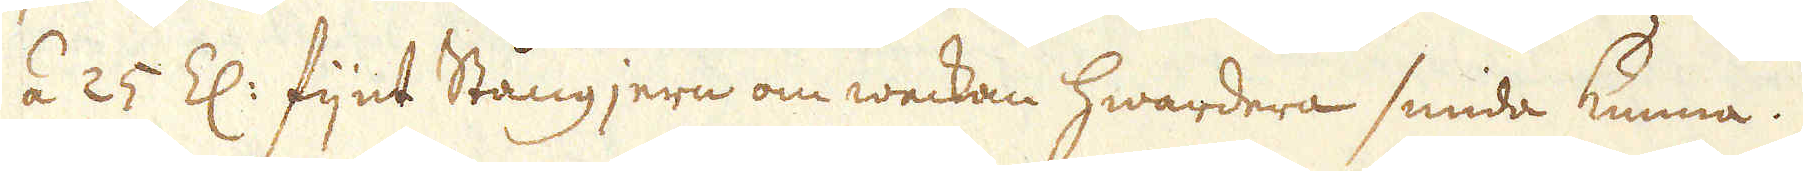á 25 Z: fijnt Stångjern om weckan hwardera smida kunna.
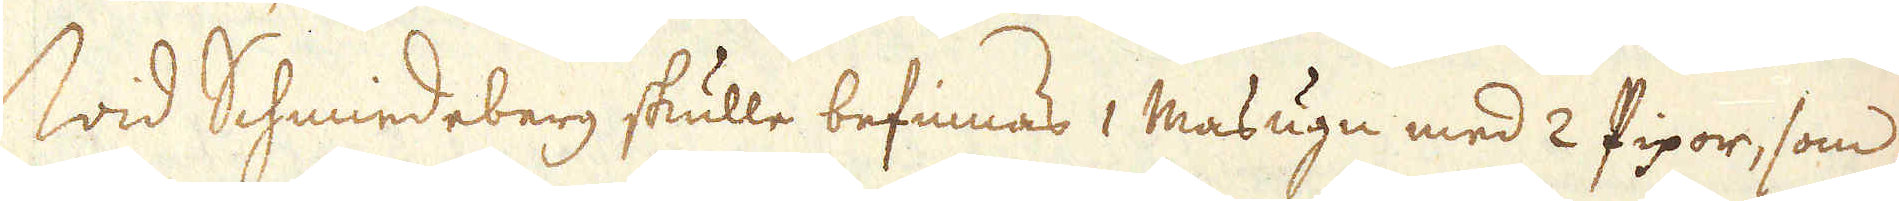Wid Schmiedeberg skulle befinnas 1 Masugn med 2 Pipor, som
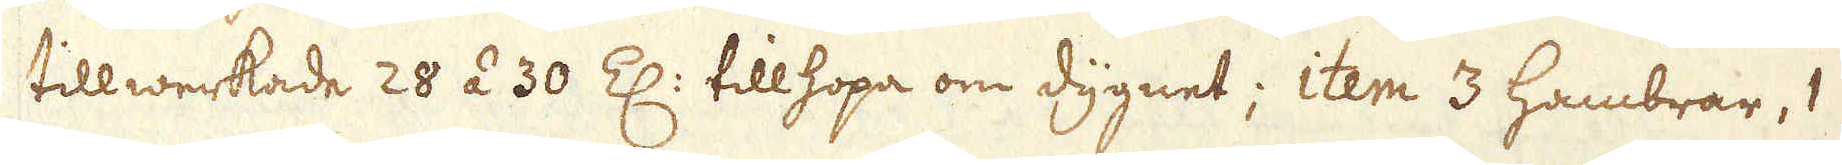tillwerkade 28 á 30 Z: tillhopa om dygnet; item 3 Hambrar, 1
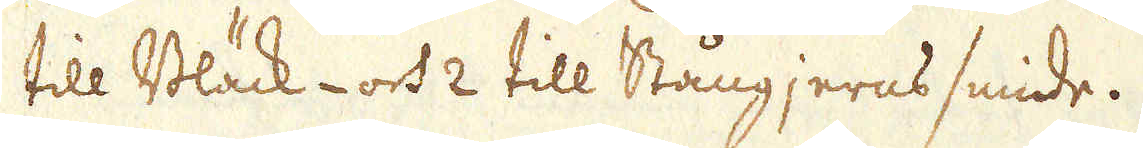till Bläck- och 2 till Stångjerns smide.
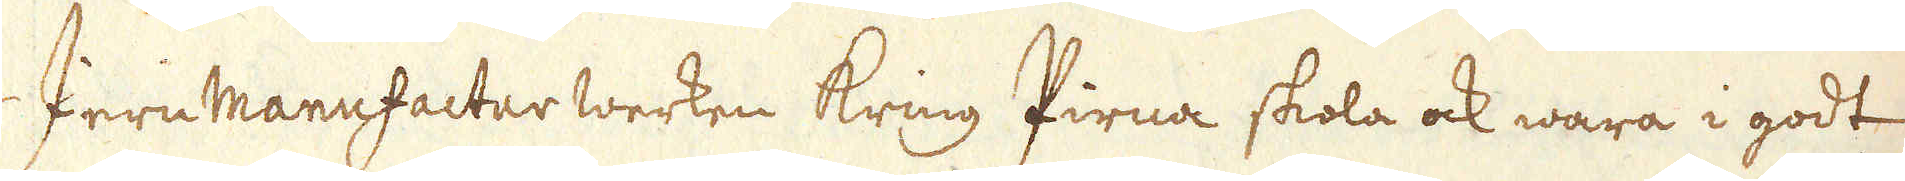Jern manufactur werken kring Pirna skola ock wara i godt
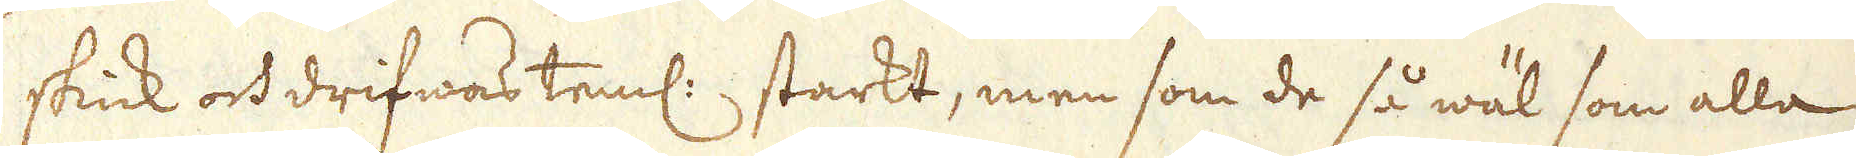skick och drifwas teml: starkt, men som de så wäl som alla
